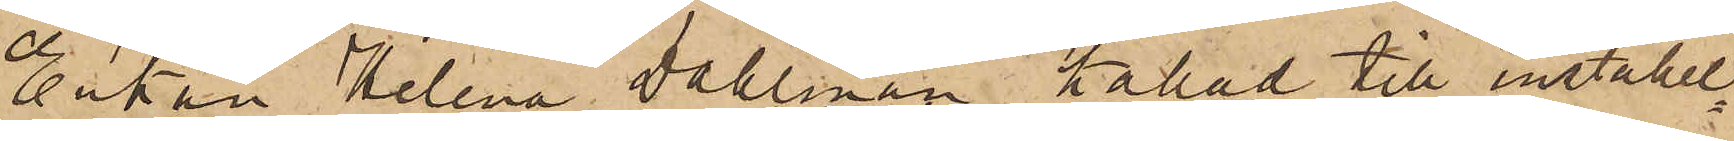Enkan Helena Dahlman kallad till inställel¬
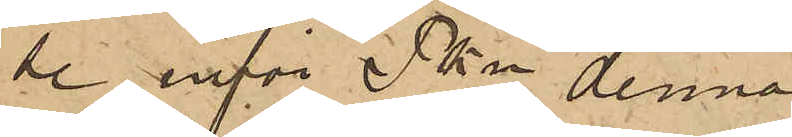se inför Pkn denna
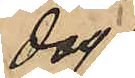dag
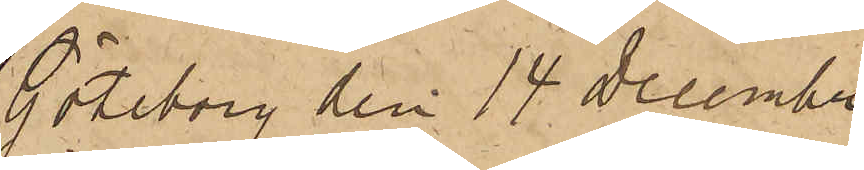Göteborg den 14 December
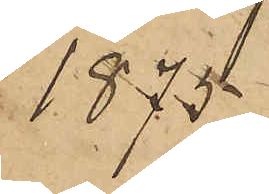1875.
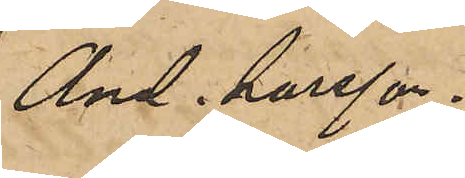And. Larsson."
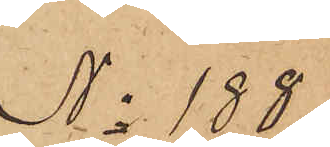No 188.
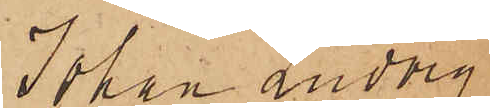Johan Ludwig
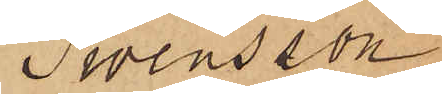Swensson
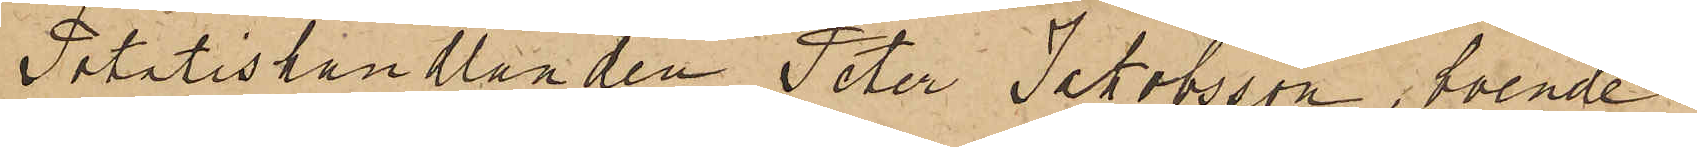Potatishandlanden Peter Jakobsson, boende i
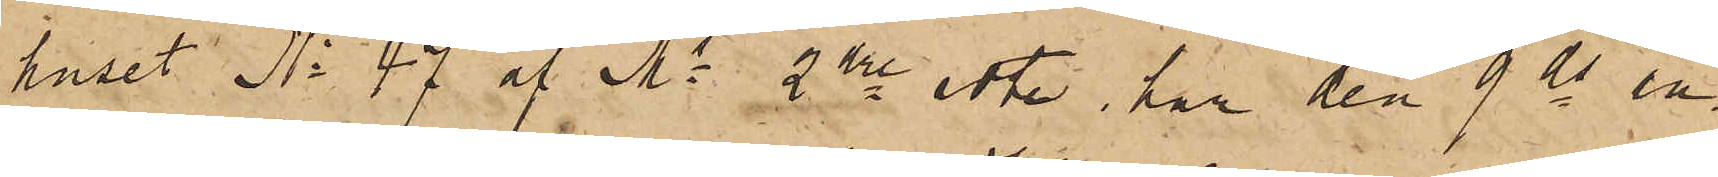huset No 47 af Ms 2dre rote, har den 9 ds an¬
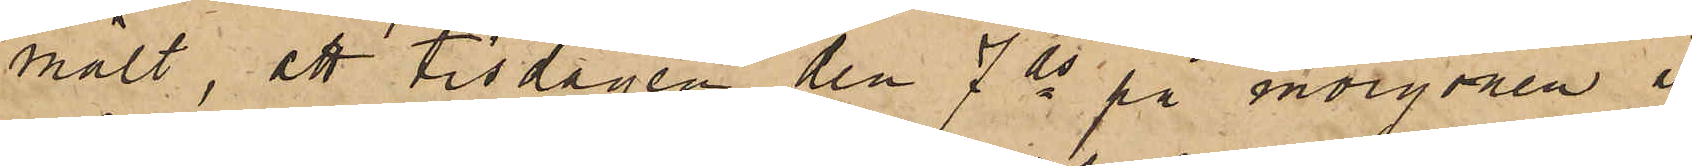mält, att tisdagen den 7 ds på morgonen å
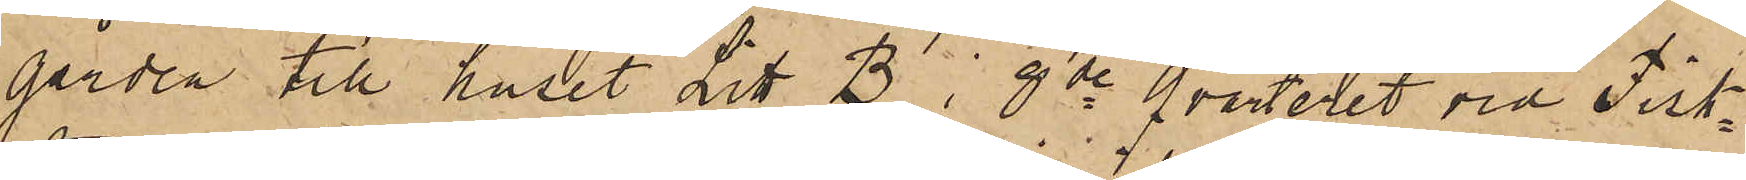gården till huset Litt. B i 8de Qvarteret vid Fisk¬
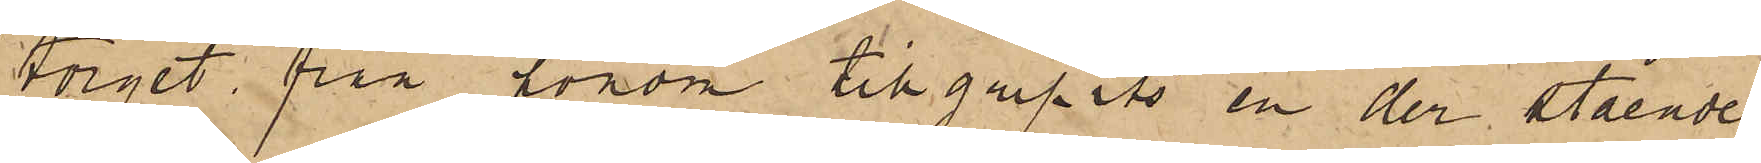torget från honom tillgripits en der stående
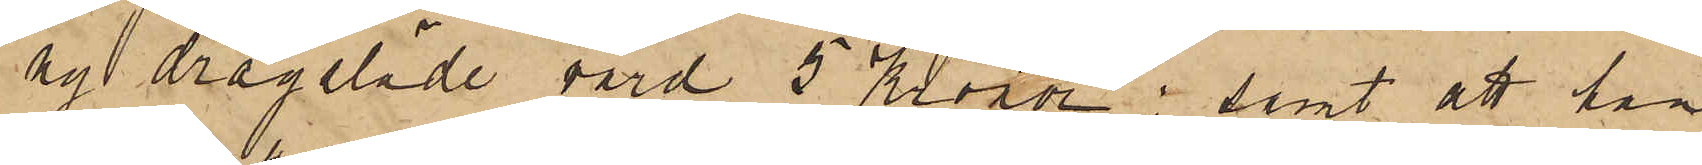ny dragsläde värd 5 Kronor; samt att han
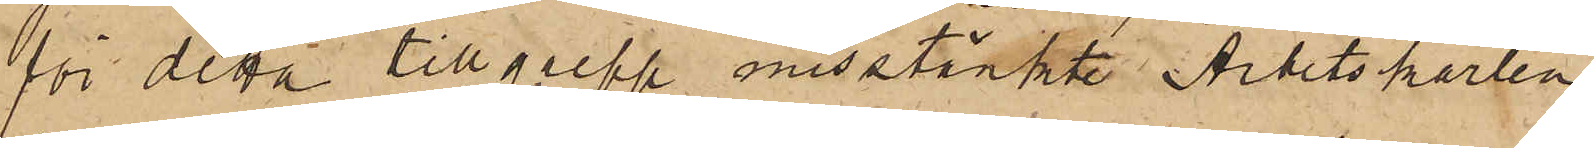för detta tillgrepp misstänkte Arbetskarlen
